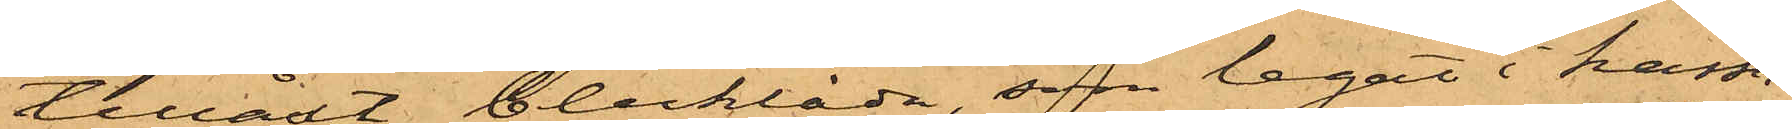tillåst blecklåda, som legat i kassa¬
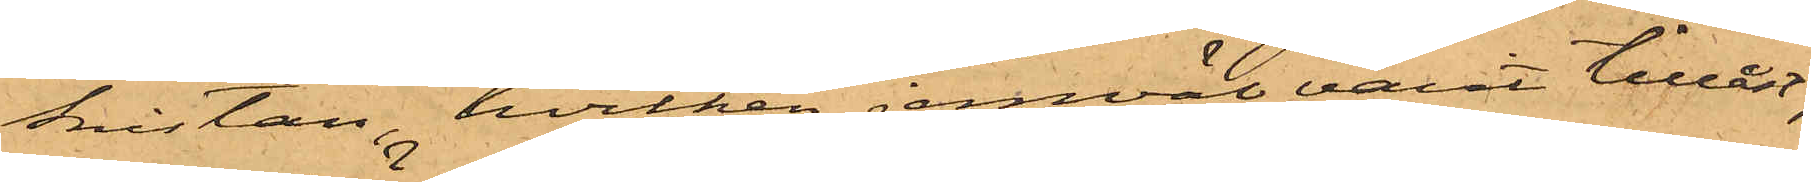kistan, hvilken jemväl varit tillåst;
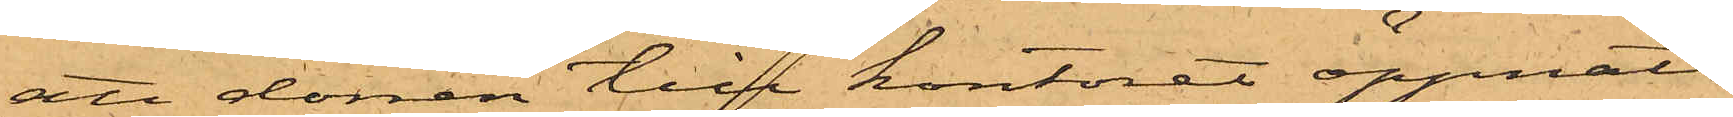att dörren till kontoret öppnats
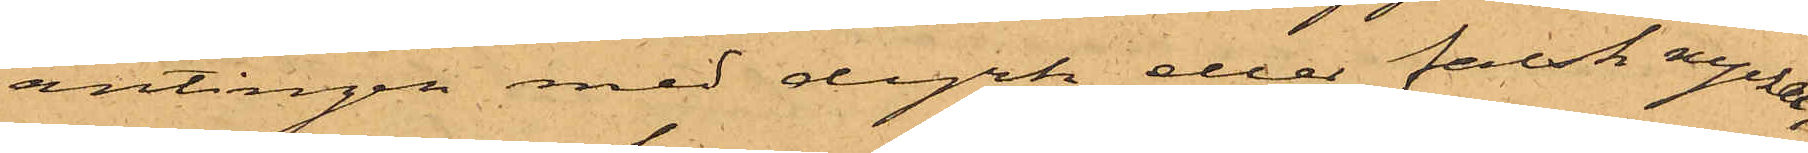antingen med dyrk eller falsk nyckel,
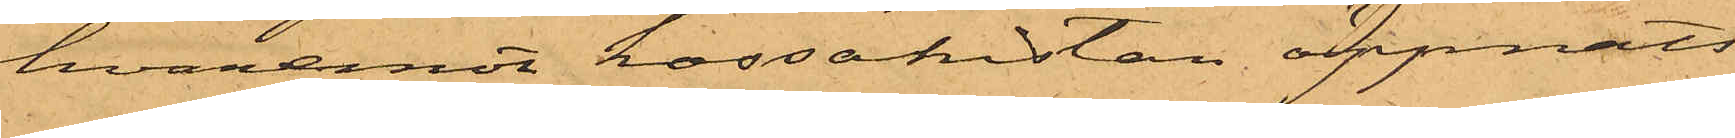hvaremot kassakistan öppnats
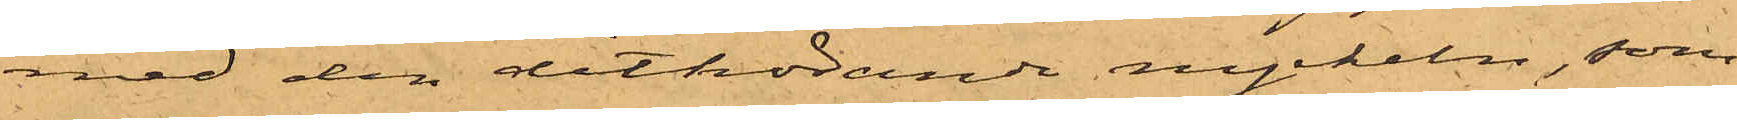med den dithörande nyckeln, som
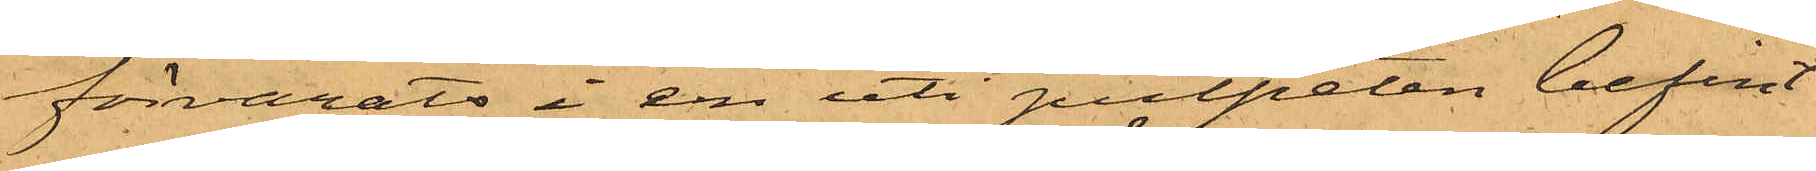förvarats i en uti pulpeten befint¬
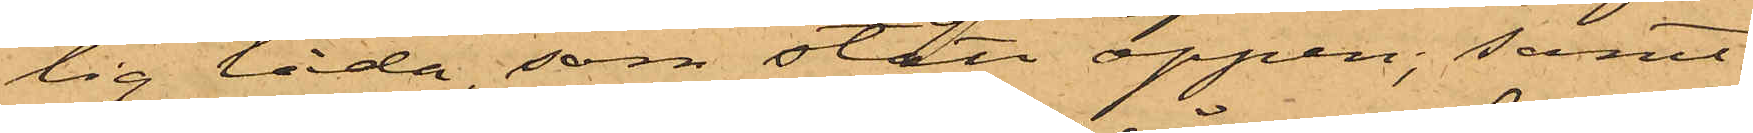lig låda, som stått öppen; samt
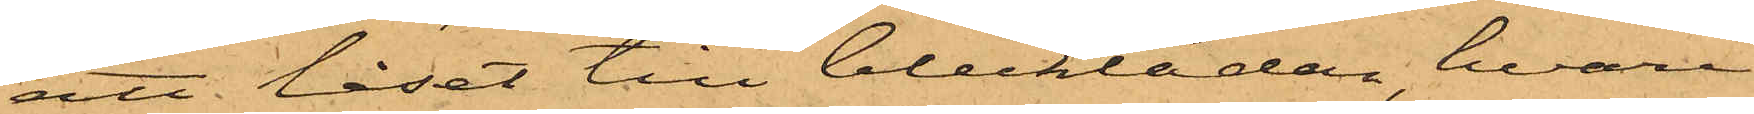att låset till blecklådan, hvari
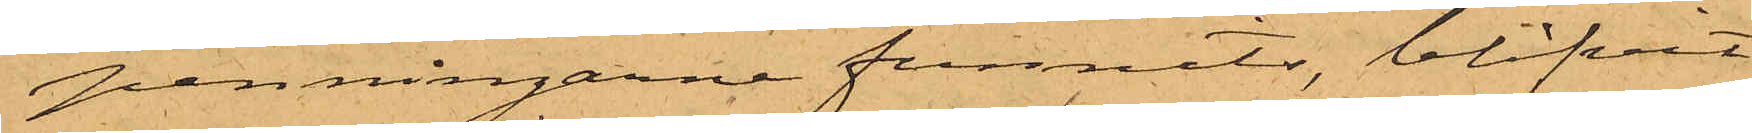penningarne funnits, blifvit
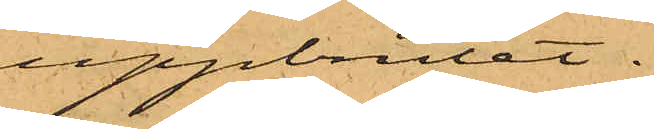uppbrutet.
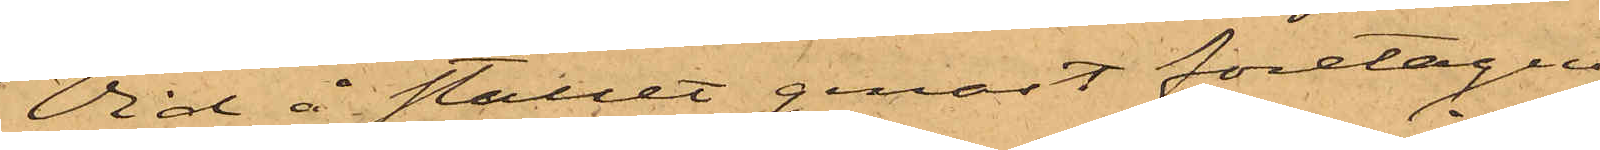Vid å stället genast företagen
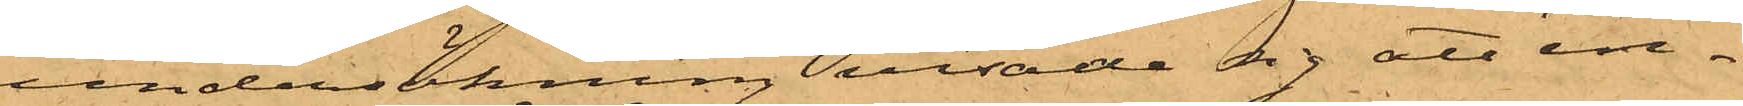undersökning visade sig att in¬
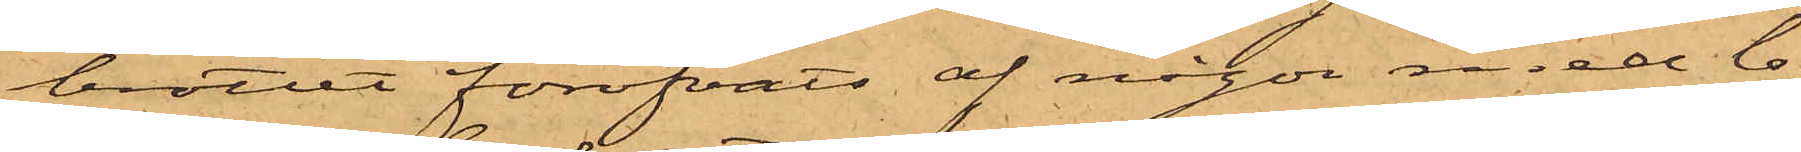brottet föröfvats af någon med lo¬
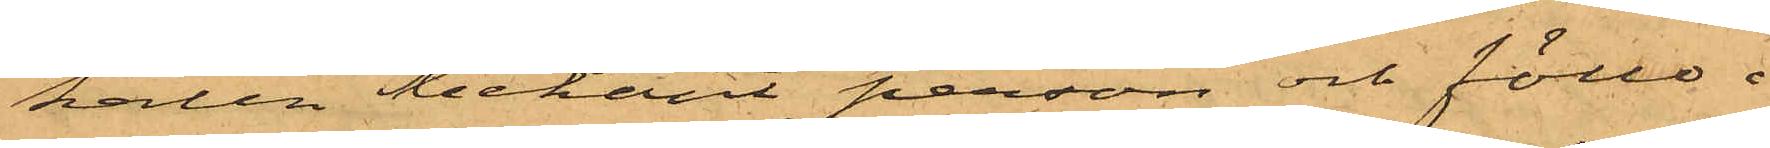kalen bekant person och föllo i
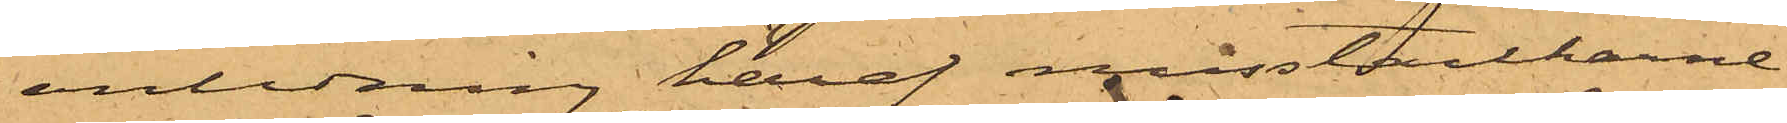anledning häraf misstankarne
